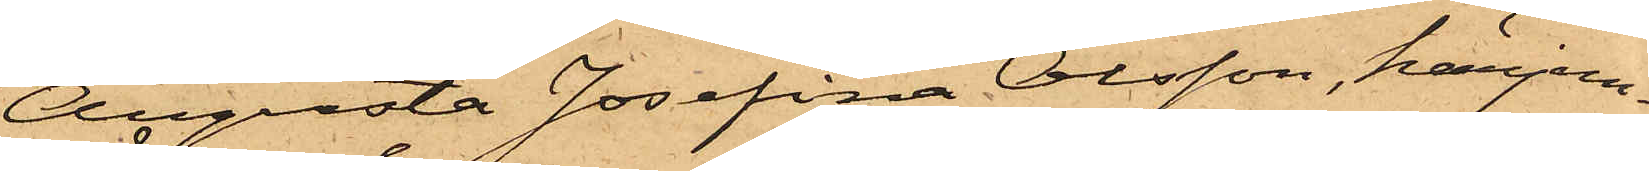Augusta Josefina Olsson, härjem¬
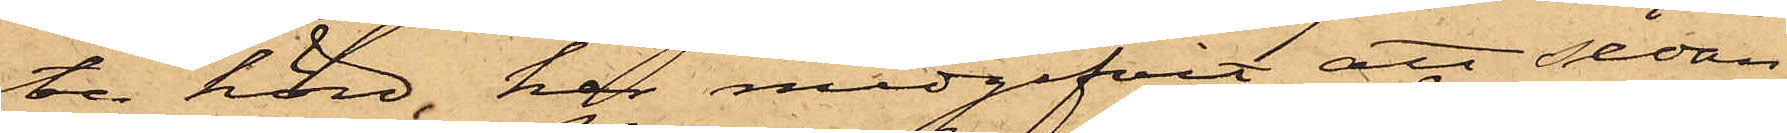te hörd, har medgifvit att sedan
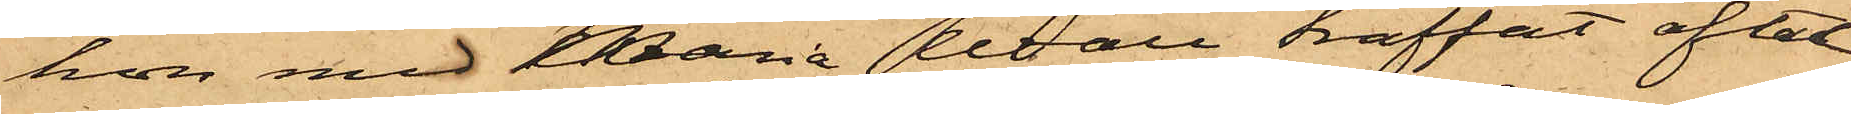hon med Maria Wall träffat aftal
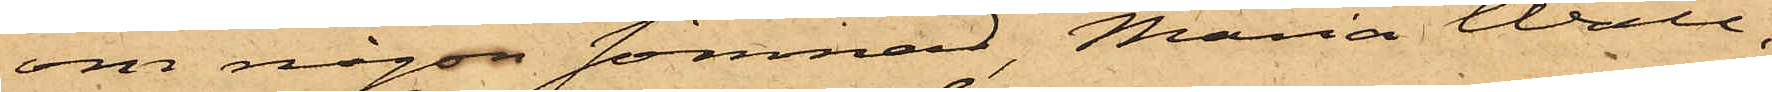om någon sömnad, Maria Wall,
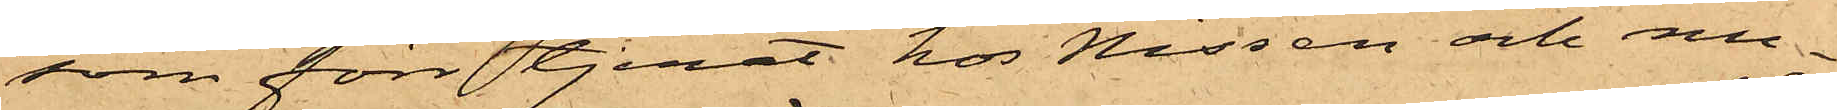som förr tjenat hos Nissen och nu¬
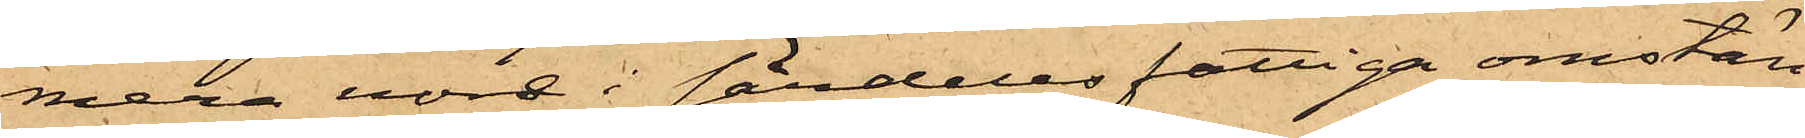mera vore i särdeles fattiga omstän¬
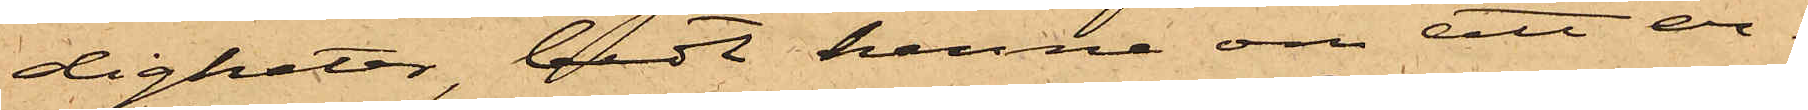digheter, bedt henne om att er¬
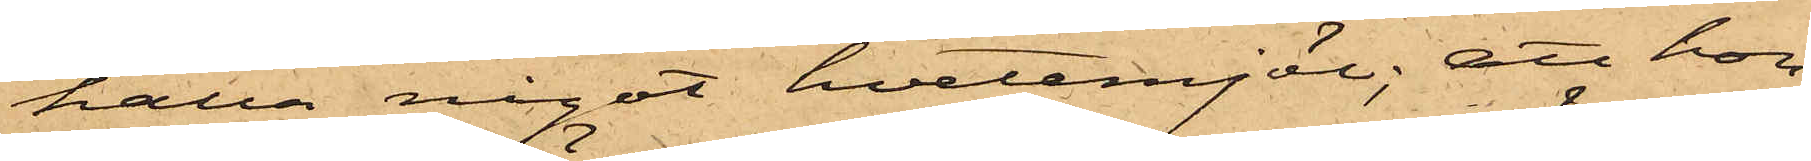hålla något hvetemjöl; att hon
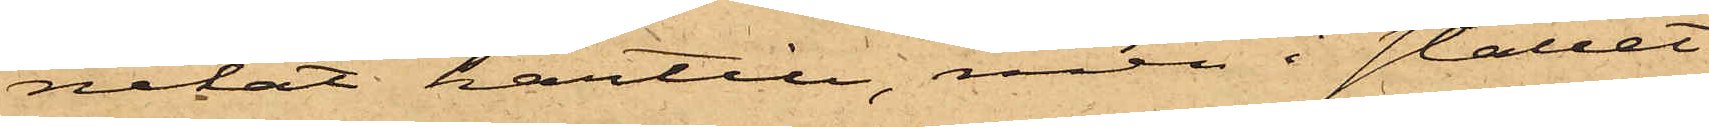nekat härtill, men i stället
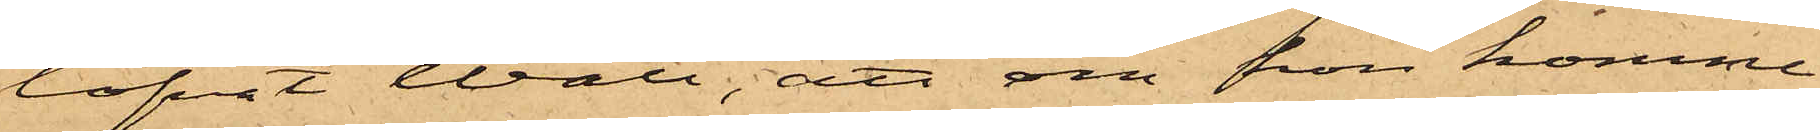lofvat Wall, att om hon komme
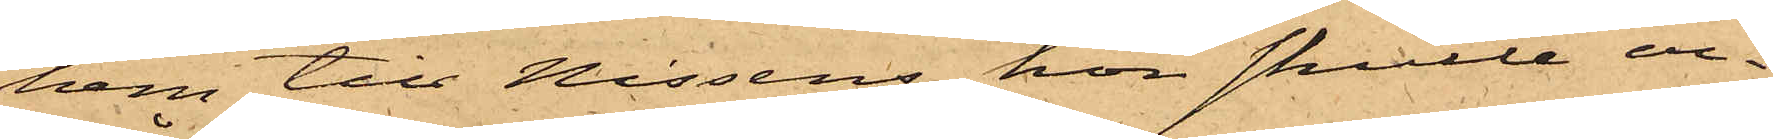hem till Nissens hon skulle er¬
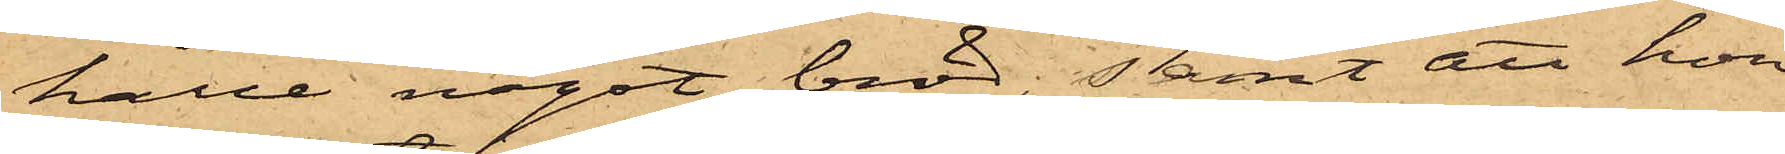hålla något bröd; samt att hon
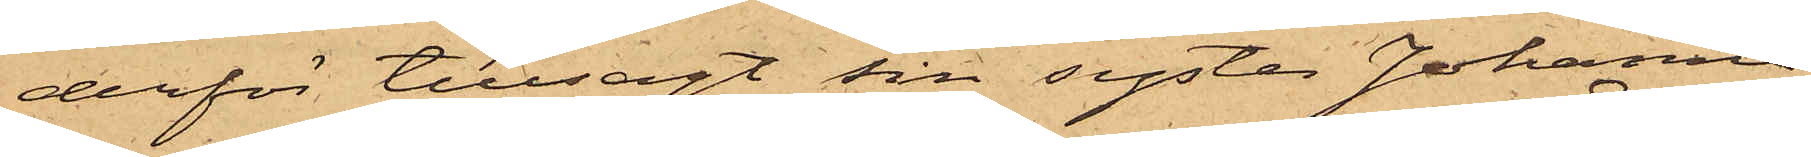derför tillsagt sin syster Johanna
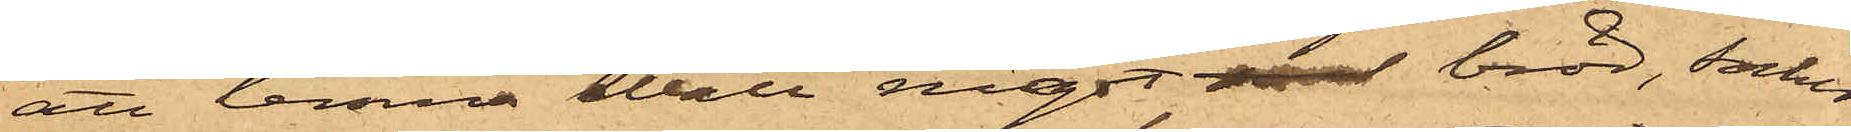att lemna Wall något bröd, socker
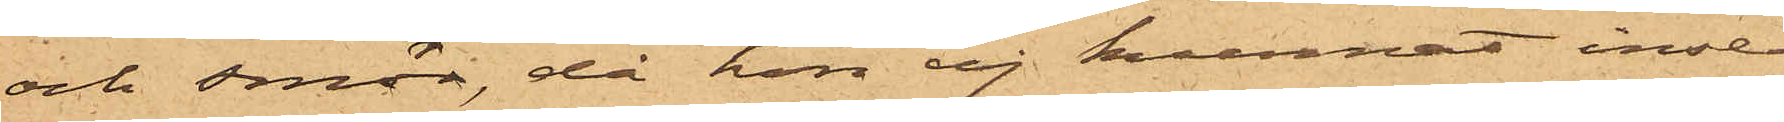och smör, då hon ej kunnat inse
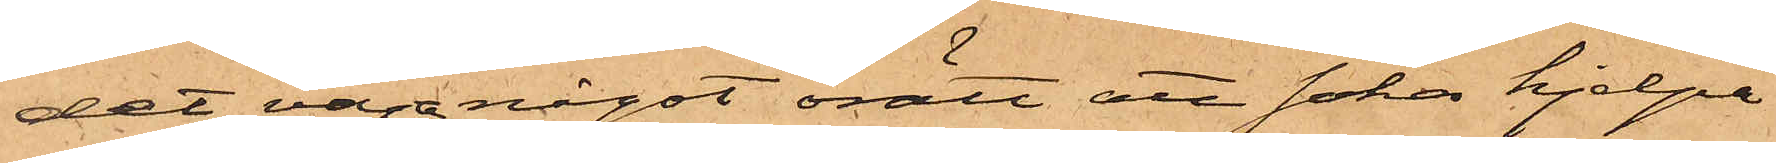det vara något orätt att söka hjelpa
